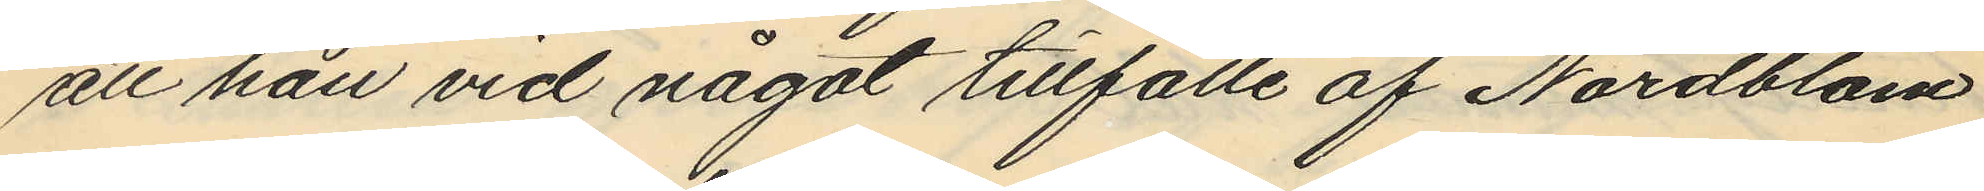att han vid något tillfälle af Nordblom
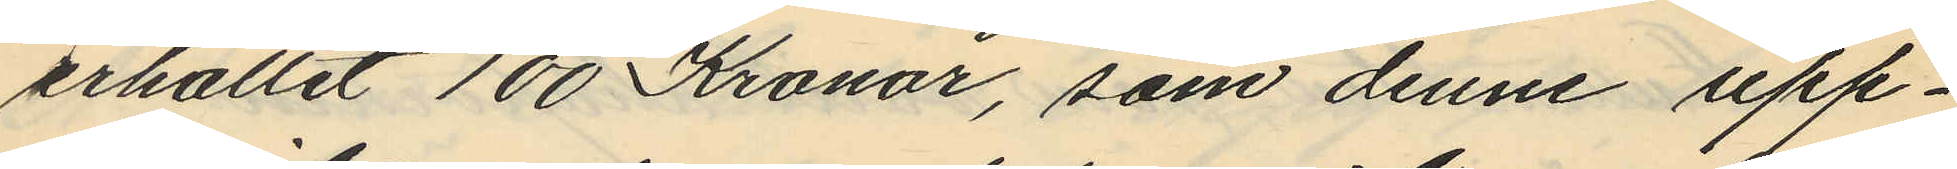erhållit 100 Kronor, som denne upp¬
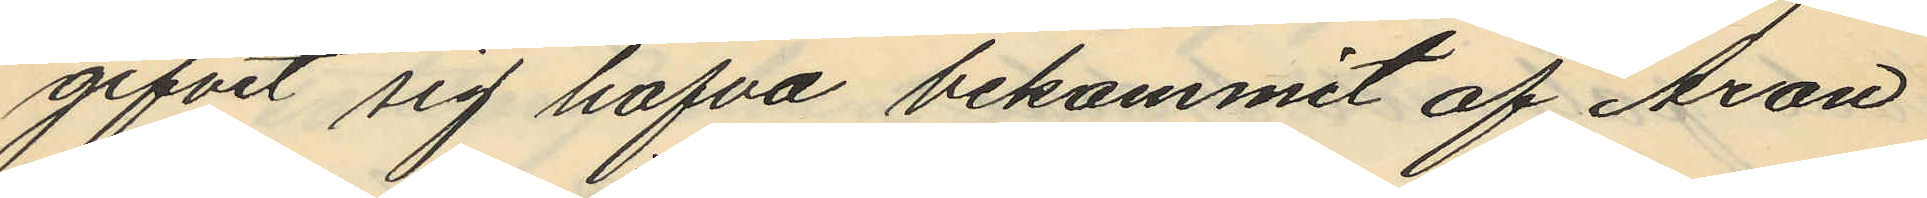gifvit sig hafva bekommit af Aron
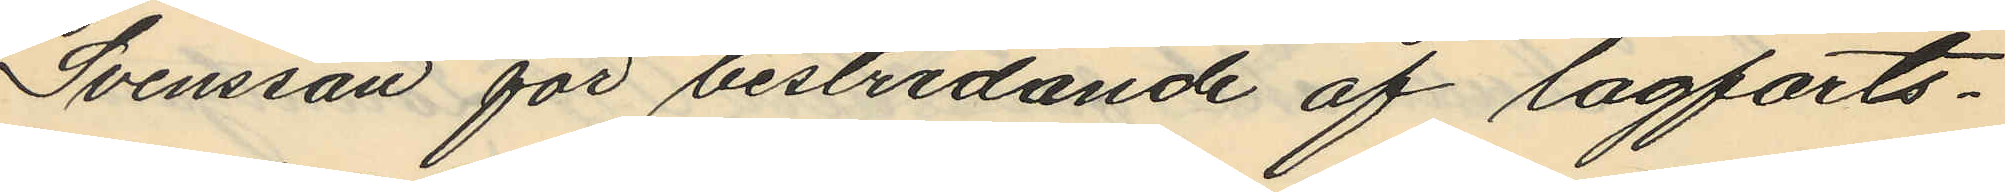Svensson för bestridande af lagfarts¬
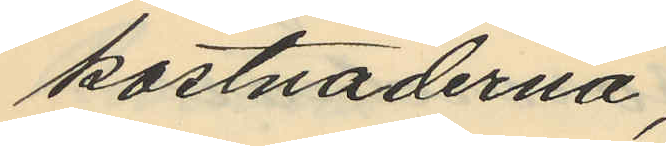kostnaderna;
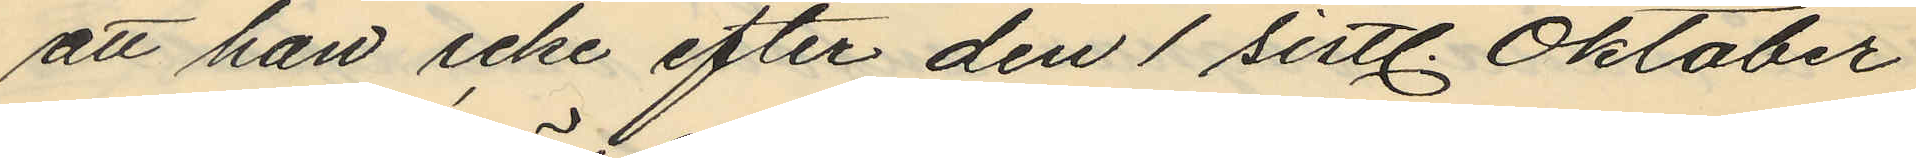att han icke efter den 1 sistl. Oktober
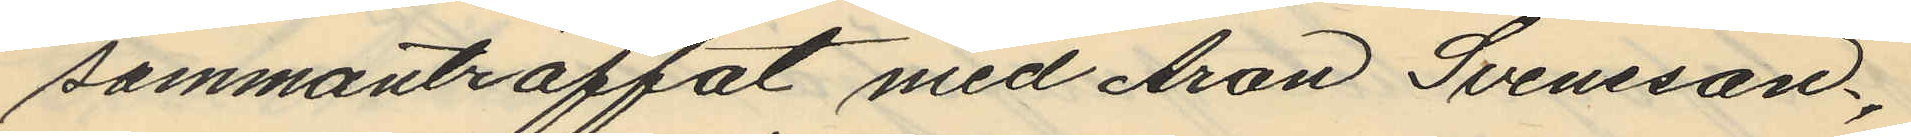sammanträffat med Aron Svensson,
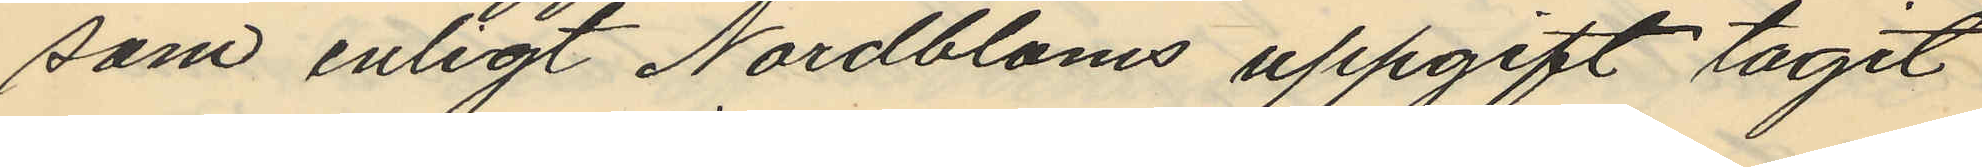som enligt Nordbloms uppgift tagit
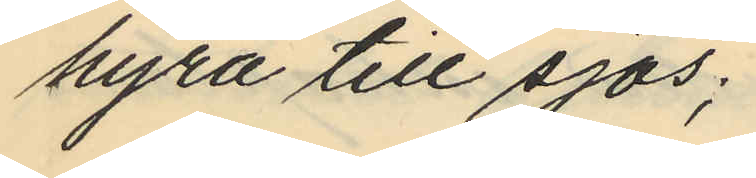hyra till sjös;
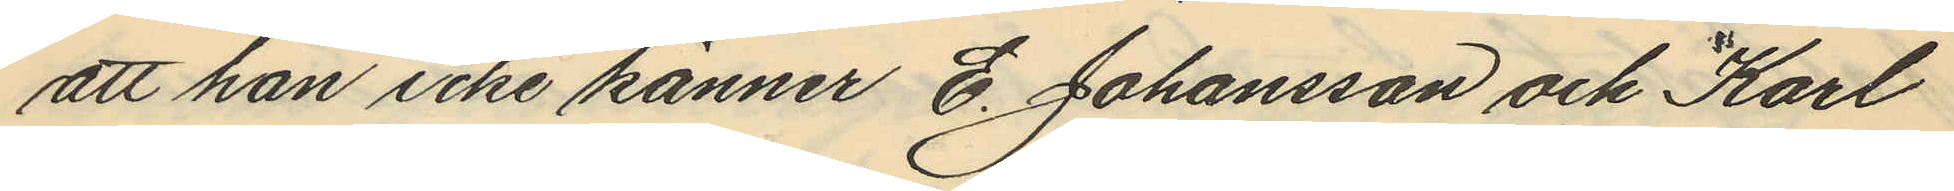att han icke känner E. Johansson och Karl
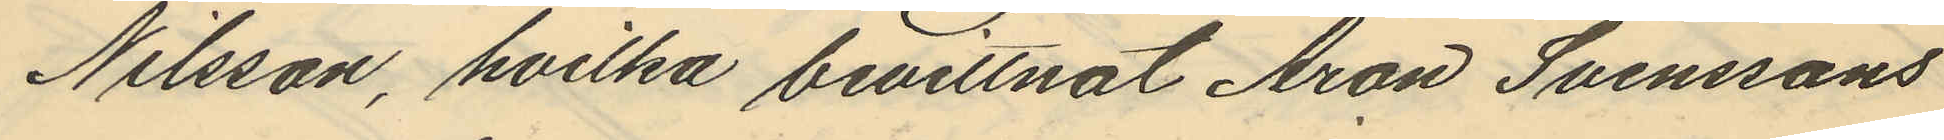Nilsson, hvilka bevittnat Aron Svenssons
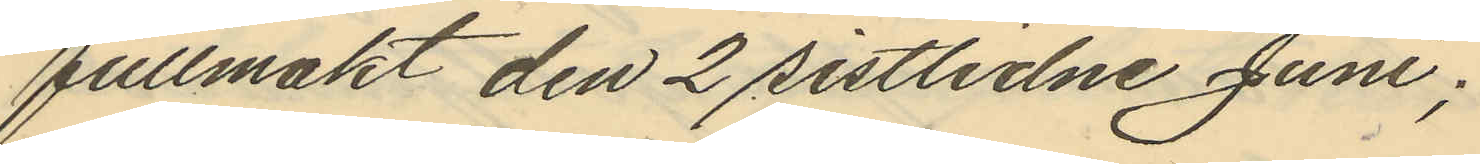fullmakt den 2 sistlidne Juni;
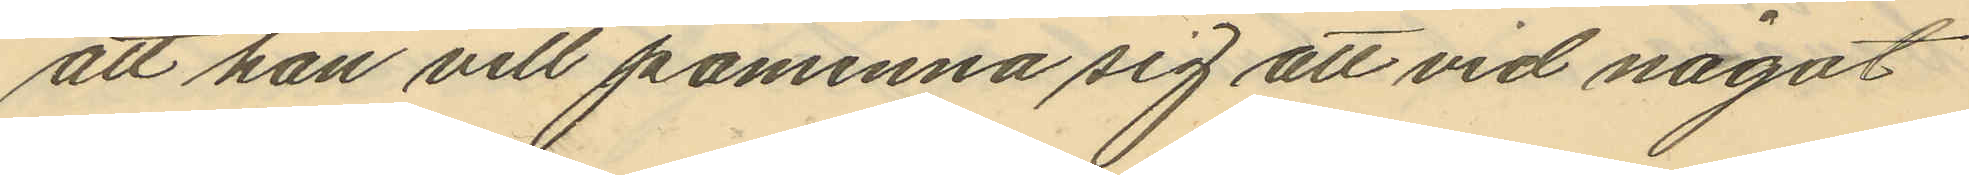att han vill påminna sig att vid något
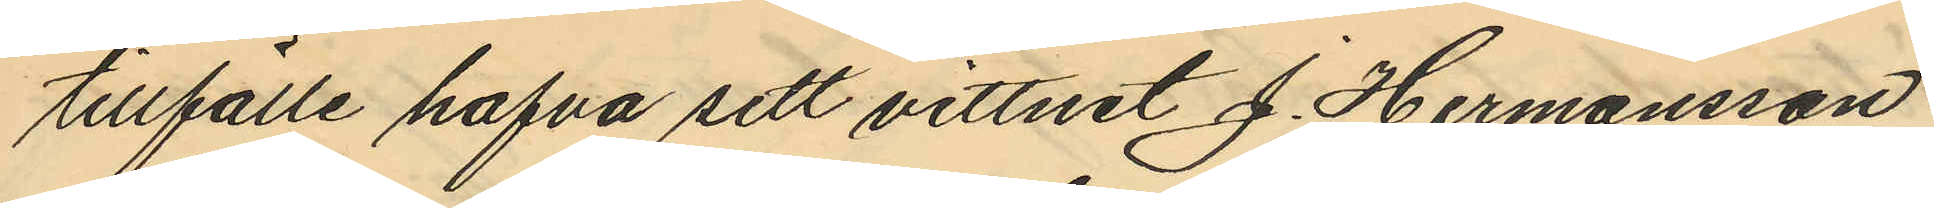tillfälle hafva sett vittnet J. Hermansson
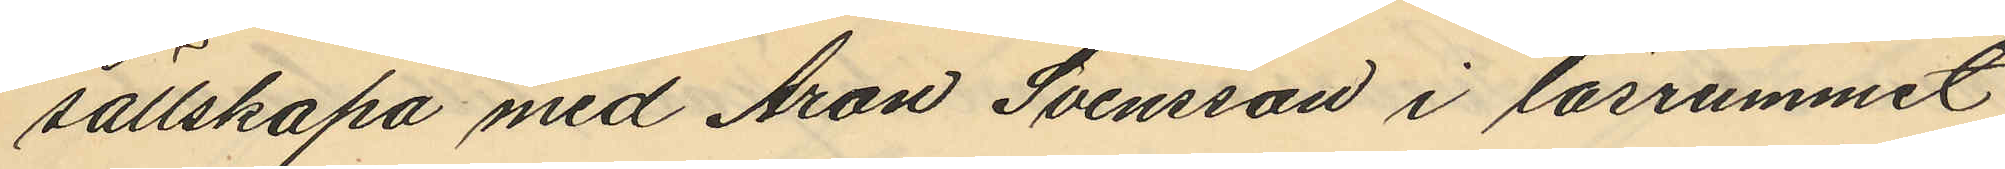sällskapa med Aron Svensson i läsrummet
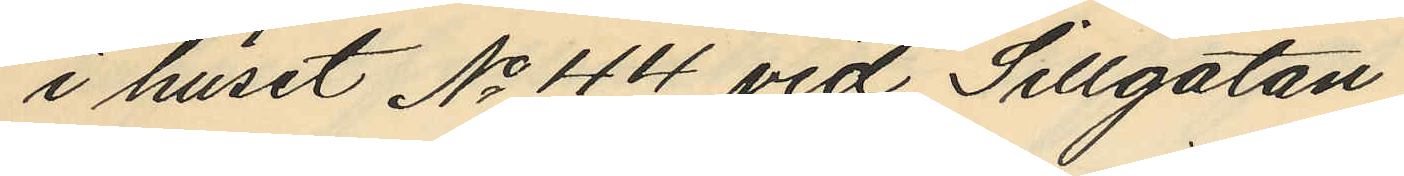i huset No 44 vid Sillgatan
